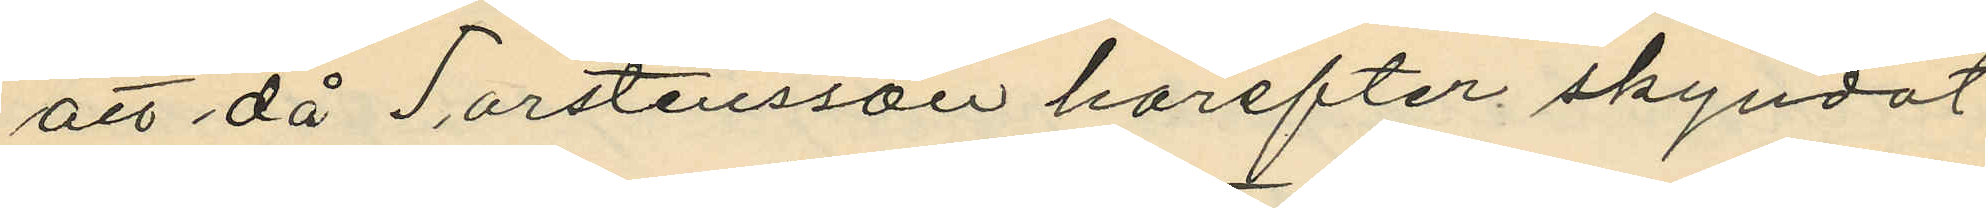att då Torstensson härefter skyndat
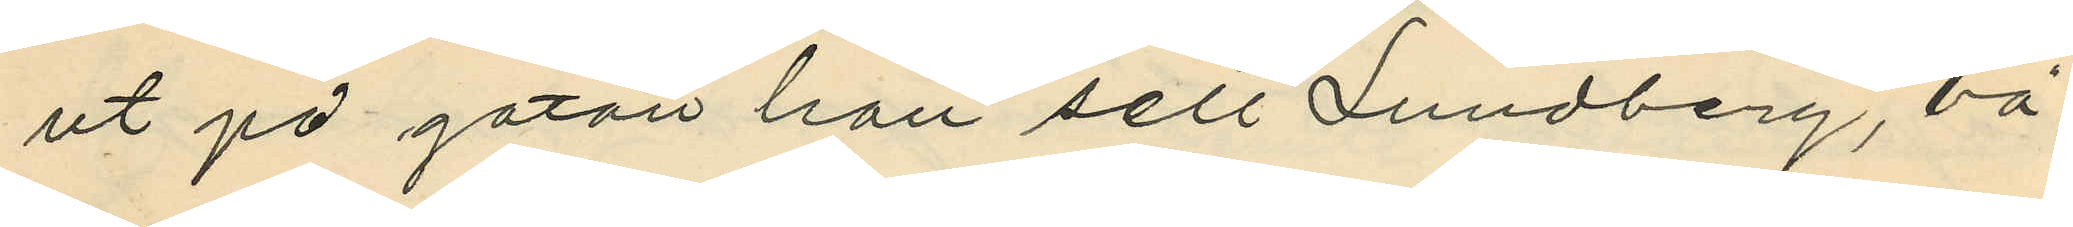ut på gatan han sett Lundberg, bä¬
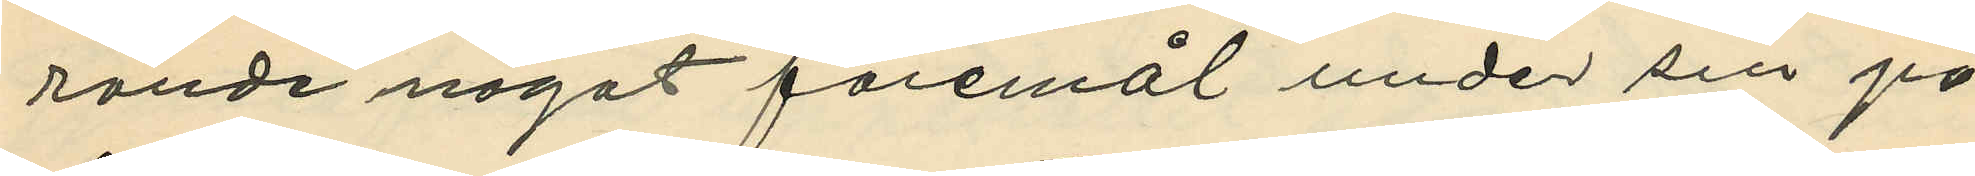rande något föremål under sin på¬
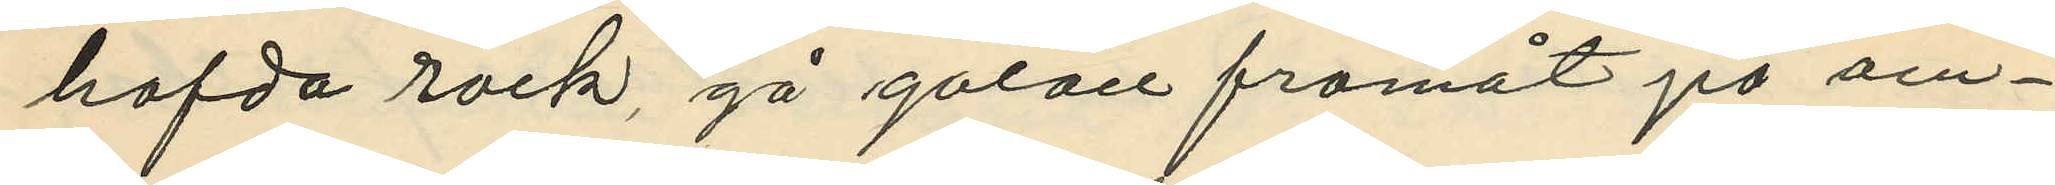hafda rock, gå gatan framåt på om¬
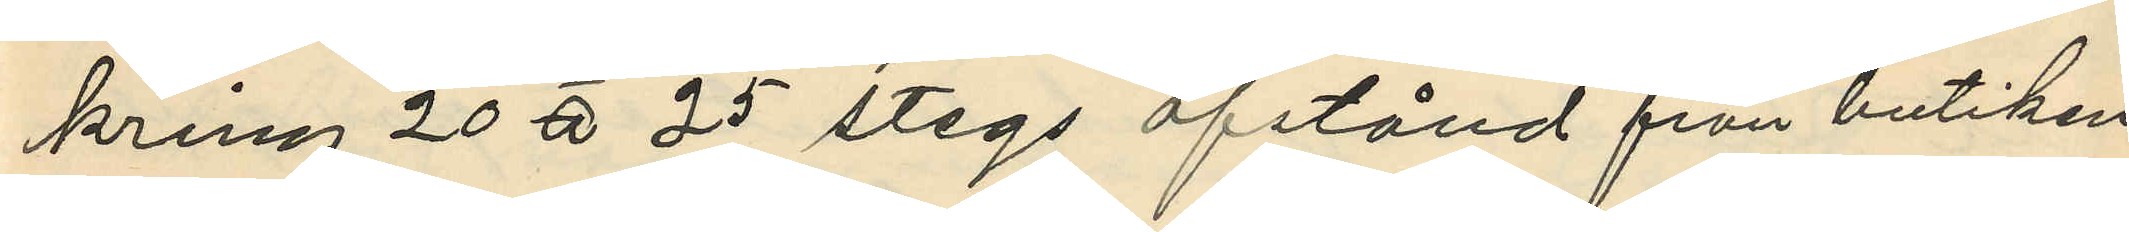kring 20 à 25 stegs afstånd från butiken;
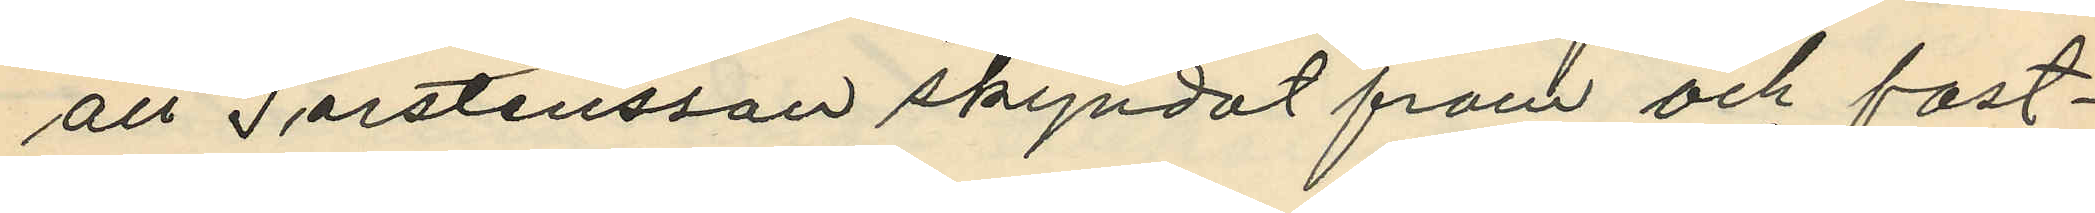att Torstensson skyndat fram och fast¬
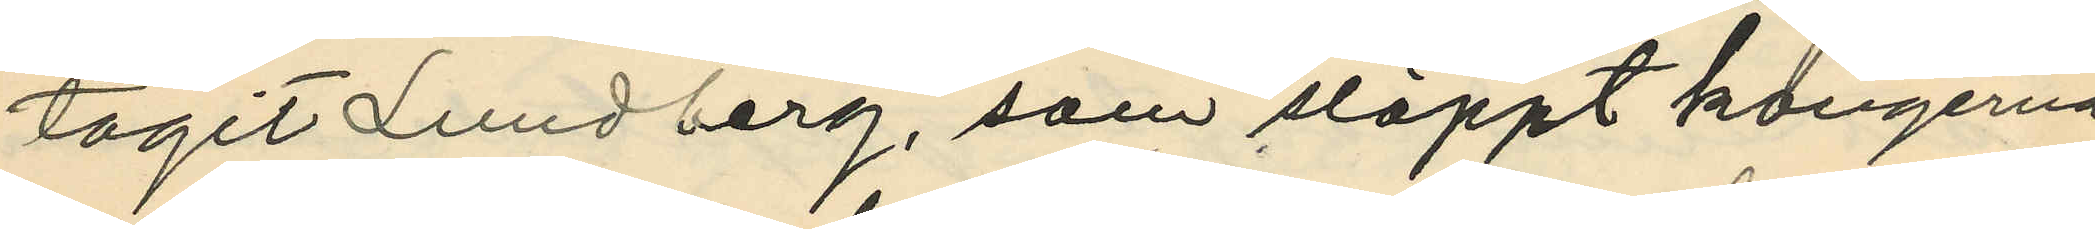tagit Lundberg, som släppt kängerna
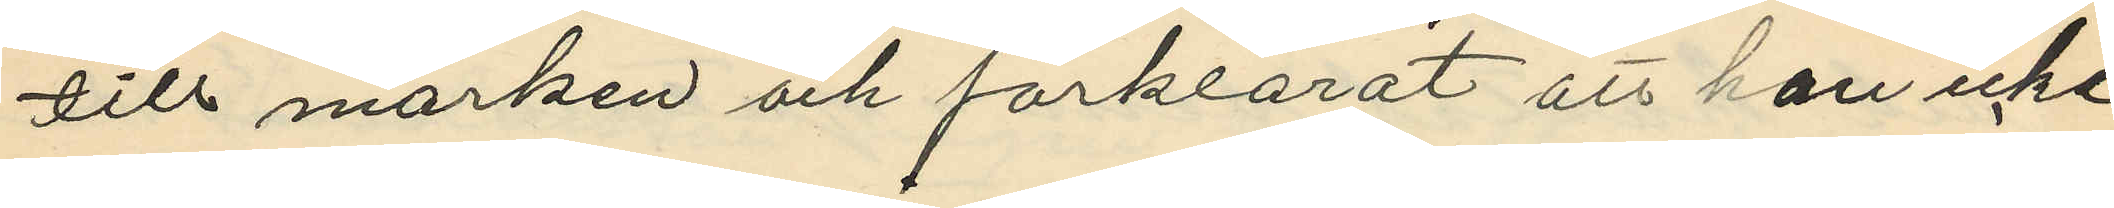till marken och förklarat att han icke
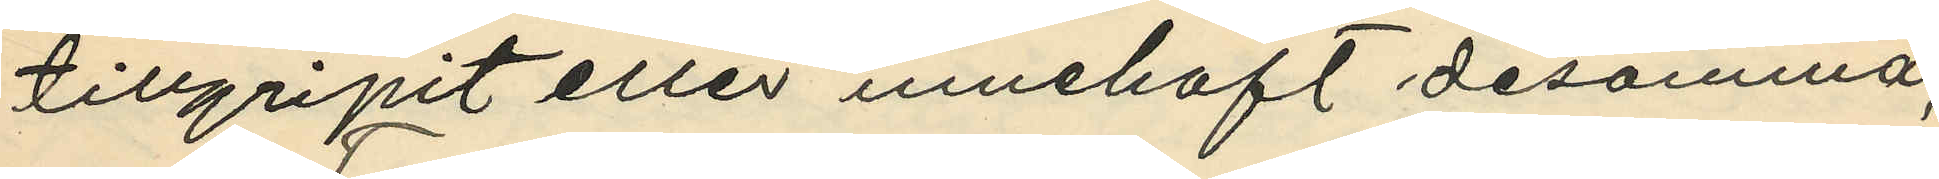tillgripit eller innehaft desamma;
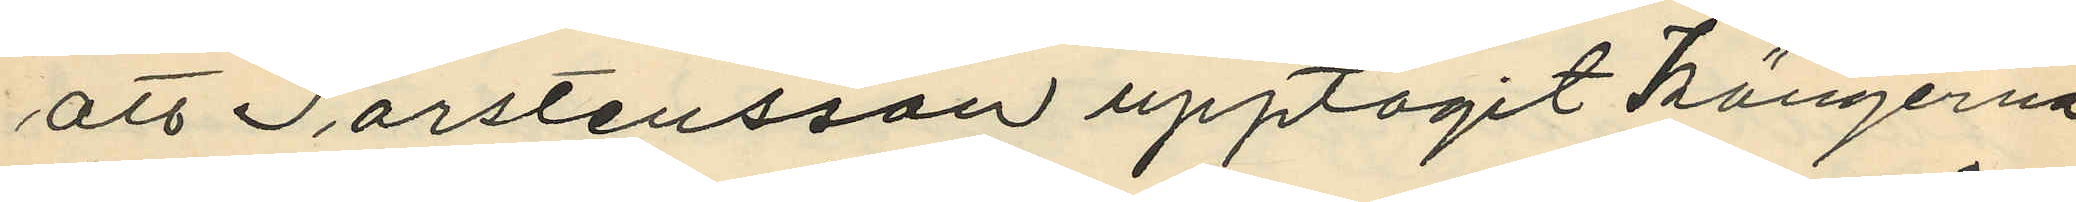att Torstensson upptagit kängerna
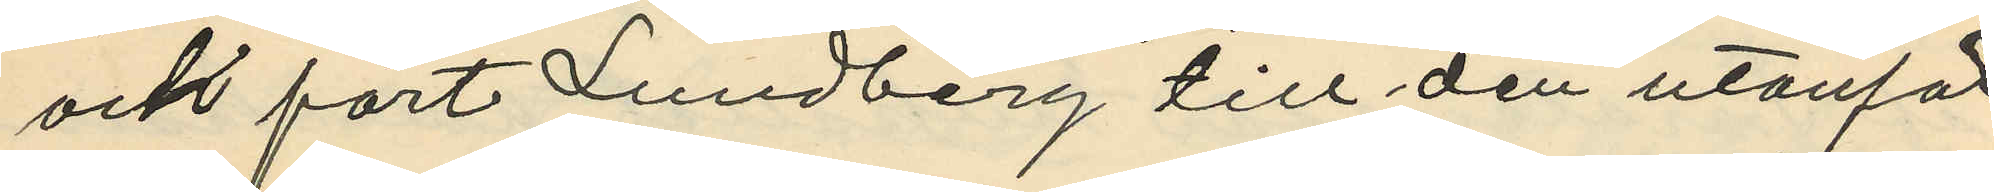och fört Lundberg till den utanför
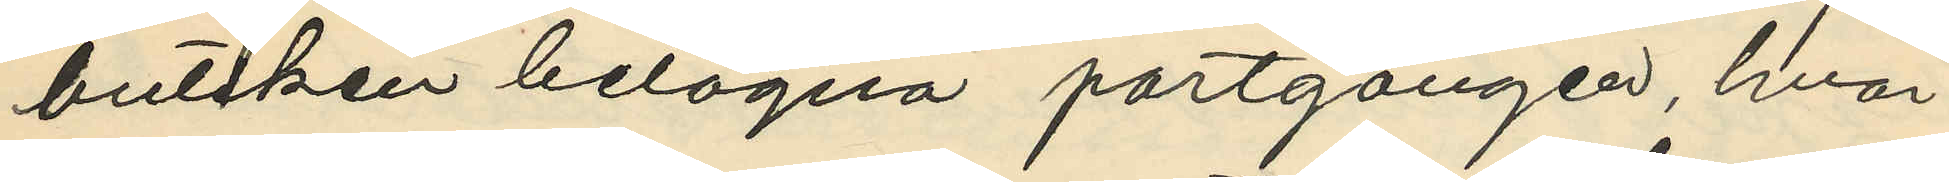butiken belägna portgången, hvar¬
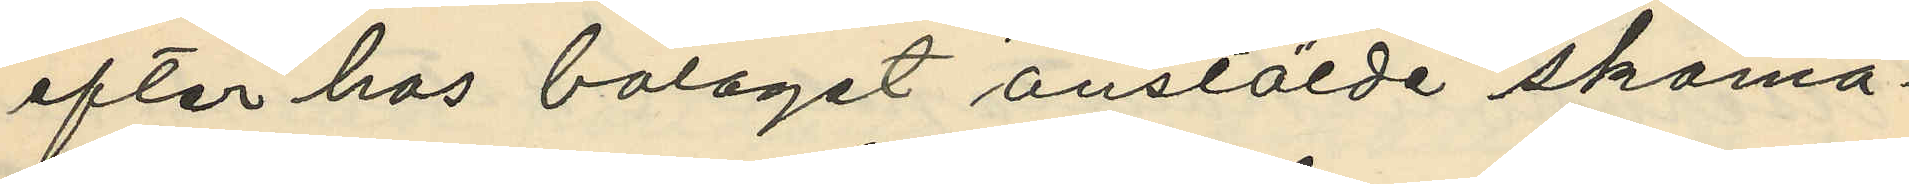efter hos bolaget anstälde skoma¬
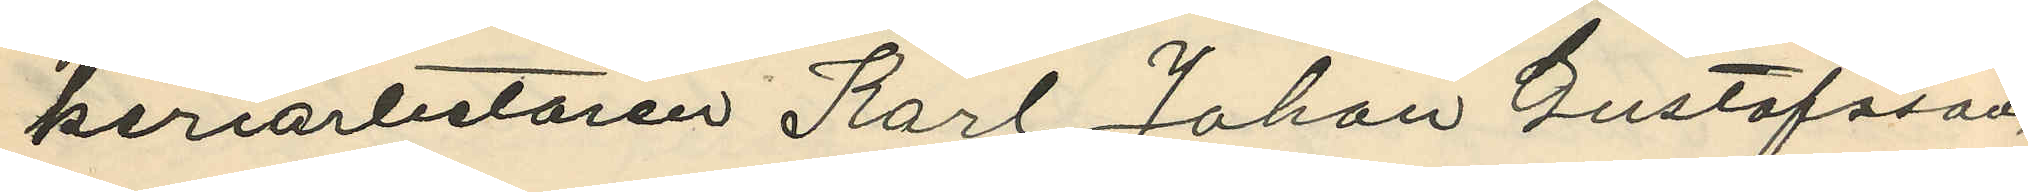keriarbetaren Karl Johan Gustafsson,
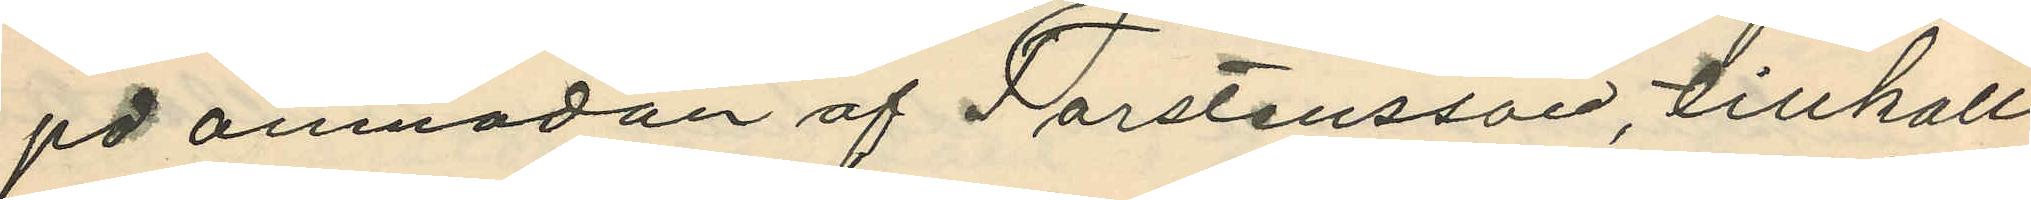på anmodan af Torstensson, tillkall¬
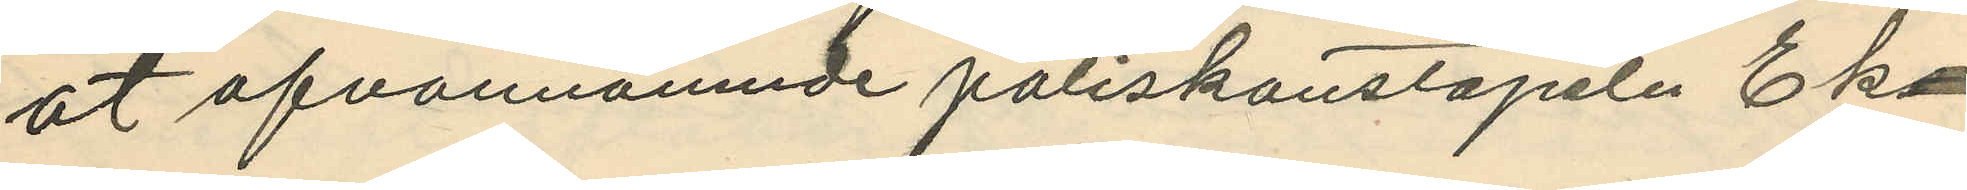at ofvannämnde poliskonstapeln Ek¬
